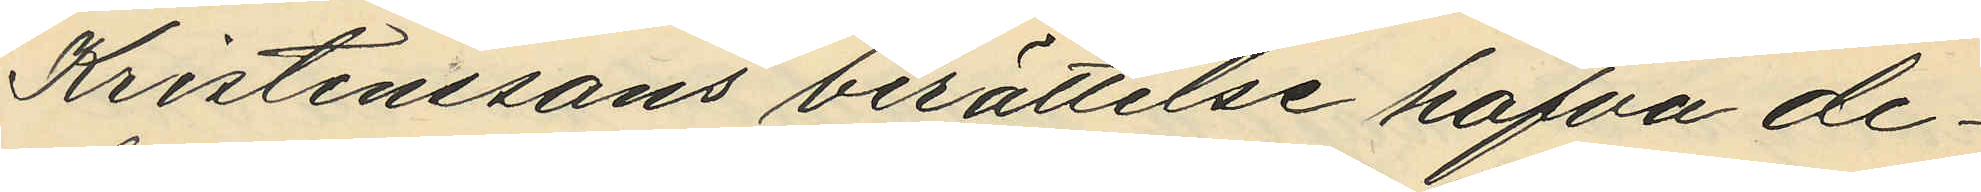Kristenssons berättelse hafva de¬
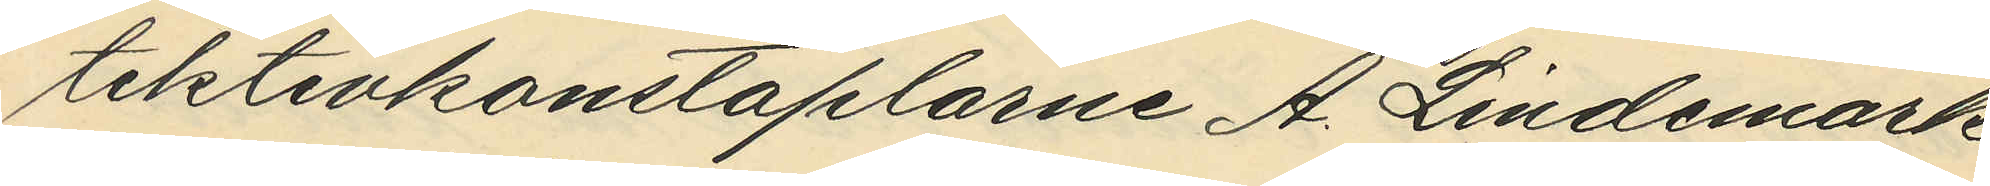tektivkonstaplarne A. Lindemark
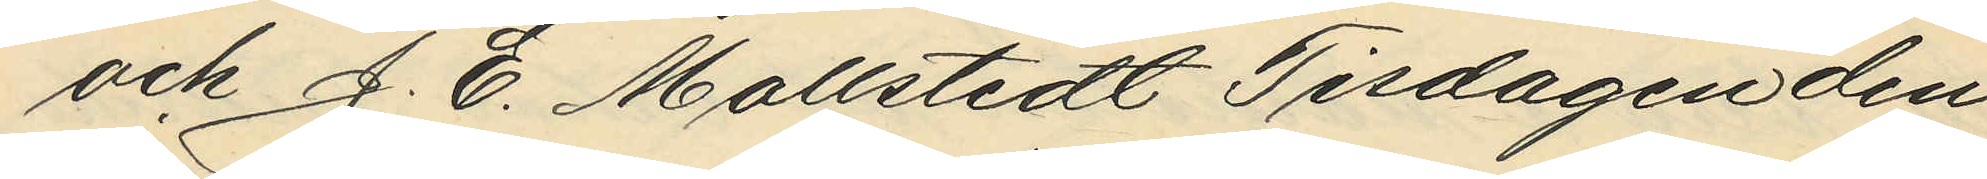och J. E. Moltstedt Tisdagen den
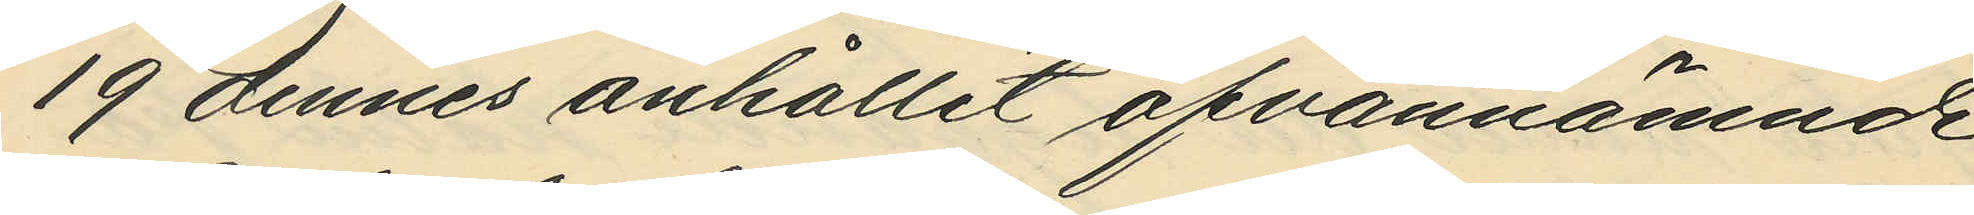19 dennes anhållit ofvannämnde
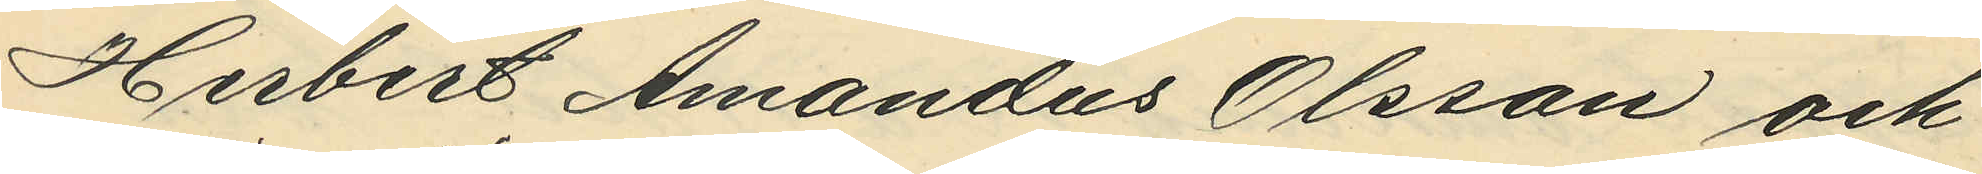Herbert Amandus Olsson och
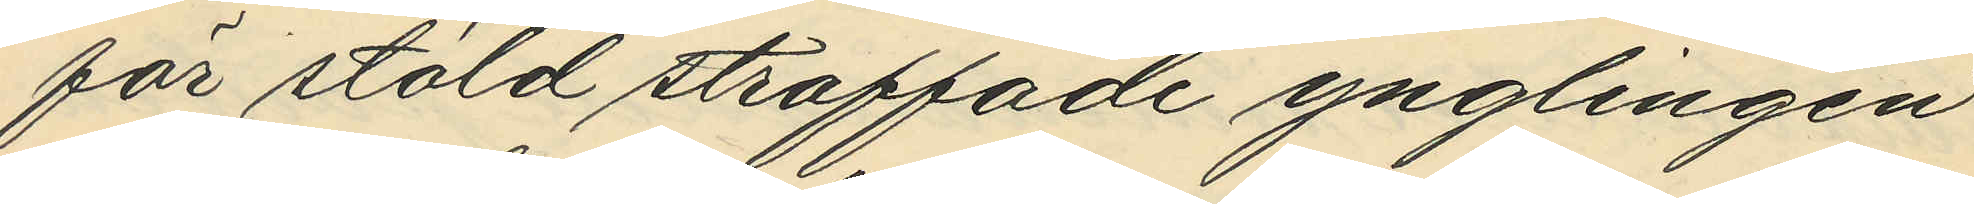för stöld straffade ynglingen
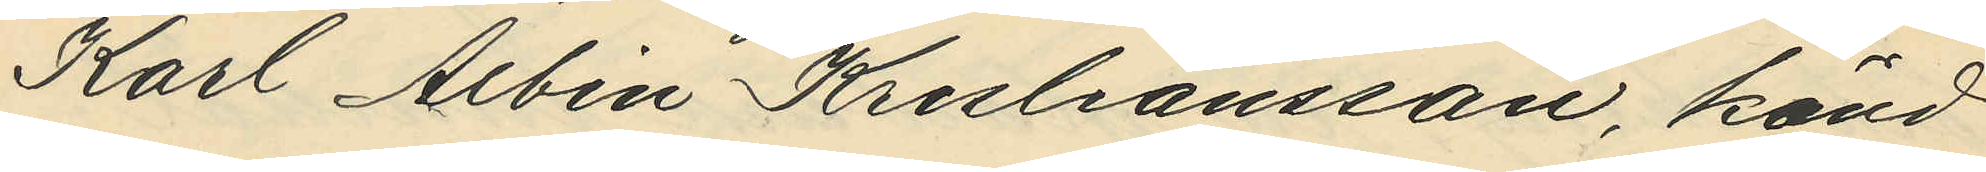Karl Albin Krisliansson, känd
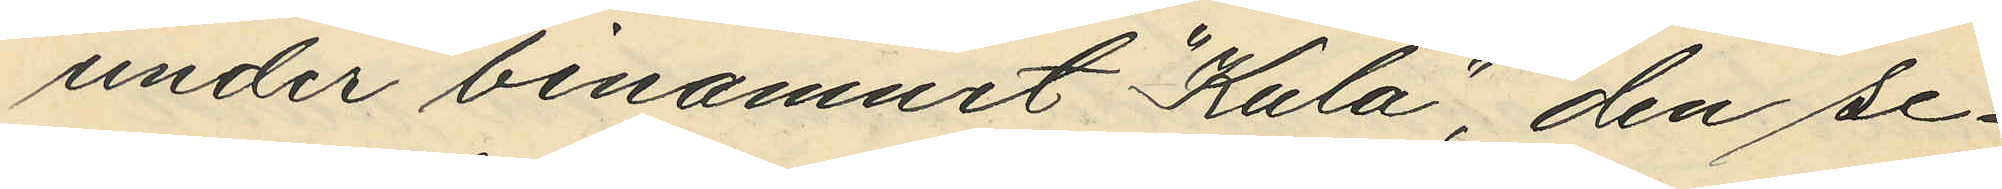under binamnet "Kula", den se¬
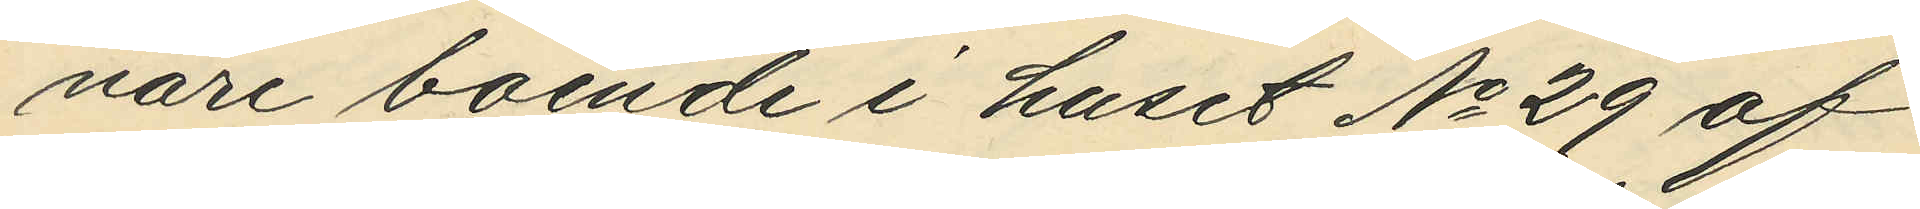nare boende i huset No 29 af
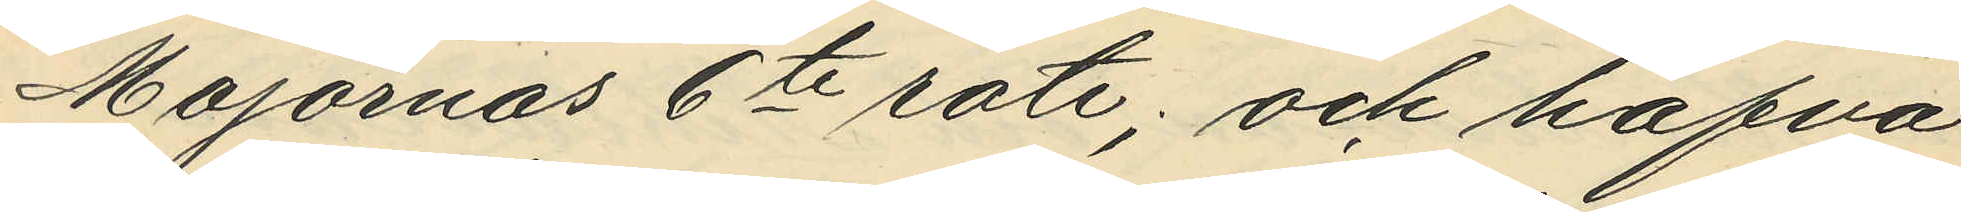Majornas 6te rote; och hafva
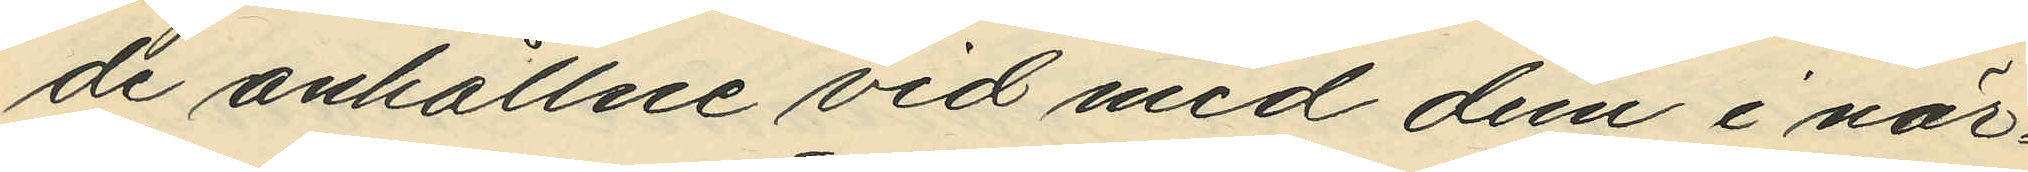de anhållne vid med dem i när¬
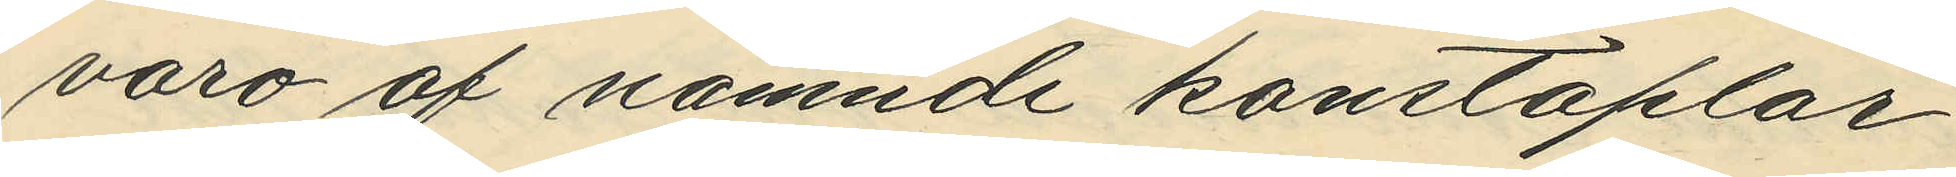varo af nämnde konstaplar
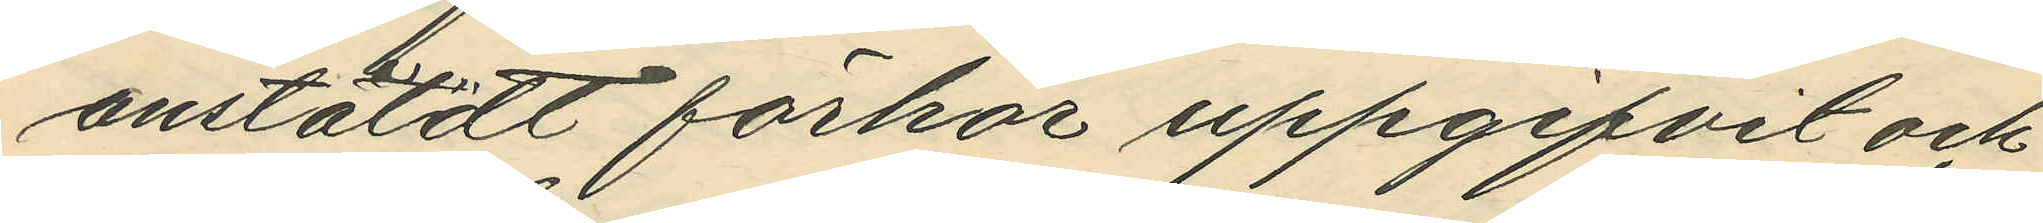anstäldt förhör uppgifvit och
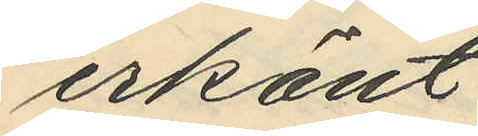erkänt
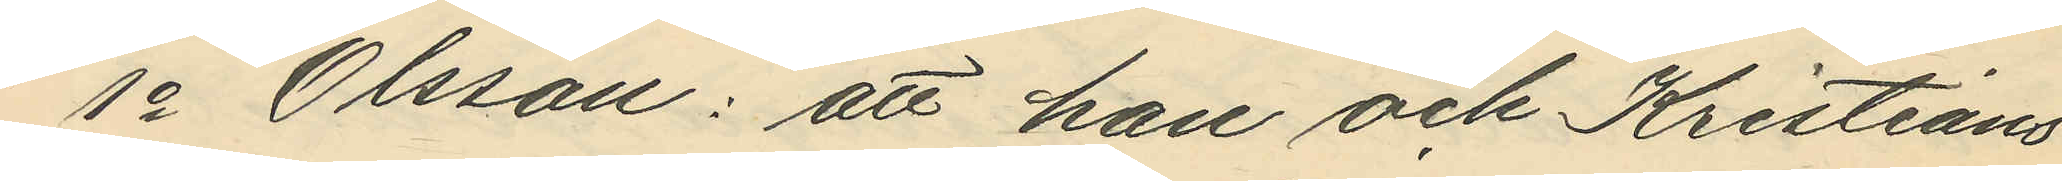1o Olsson: att han och Kristians¬
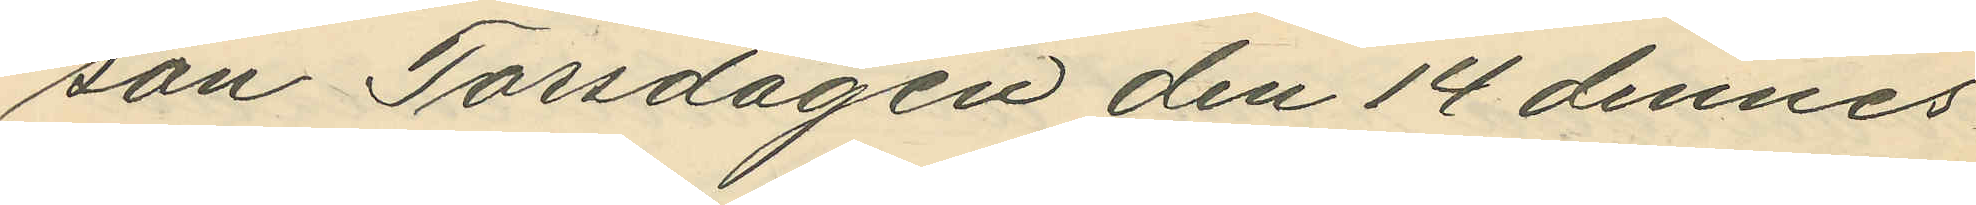son Torsdagen den 14 dennes
